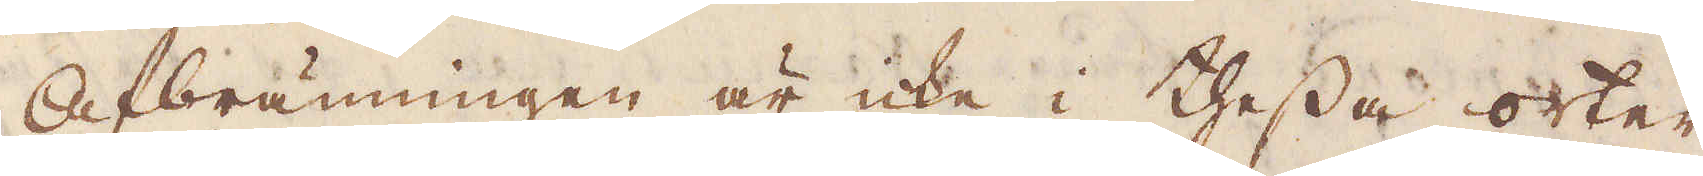Afbränningen är icke i thessa orter
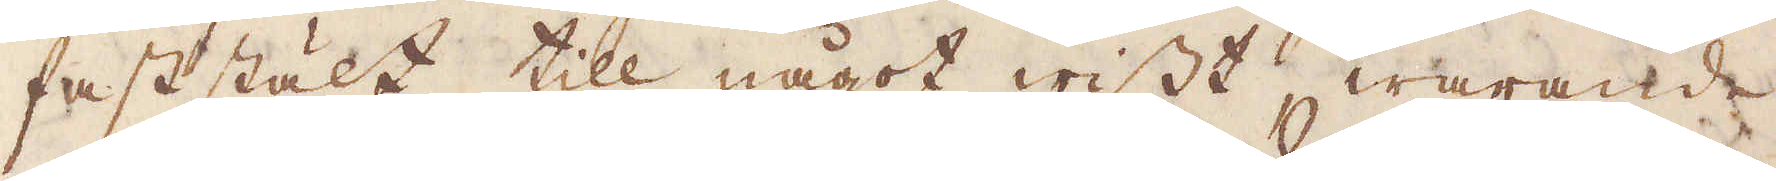faststält till något wisst warande
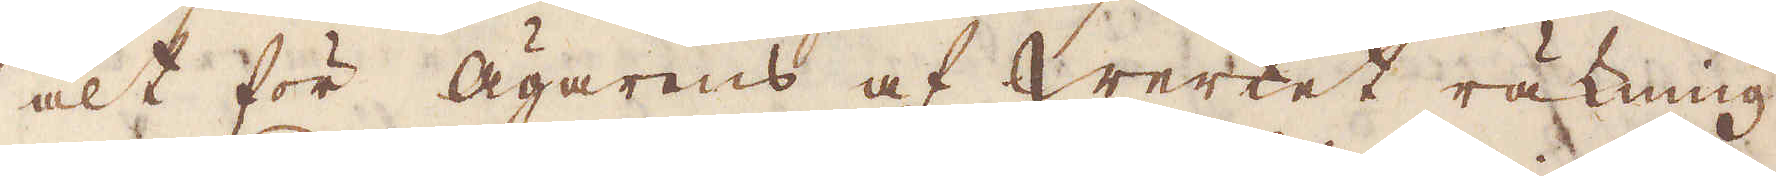alt för Ägarens af Werket räkning.
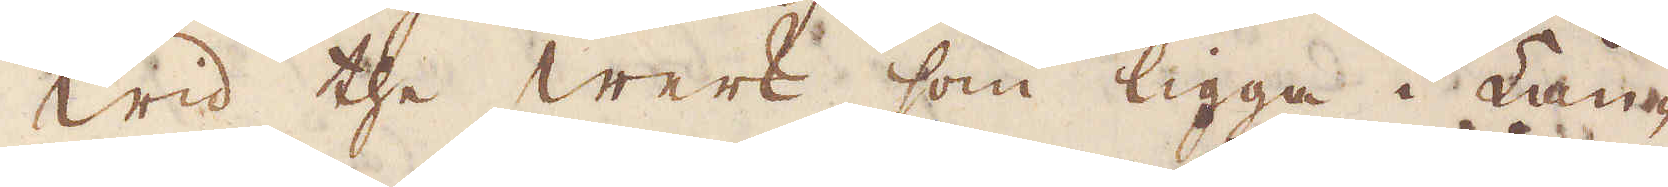WId the Werk, som ligga i Lan-
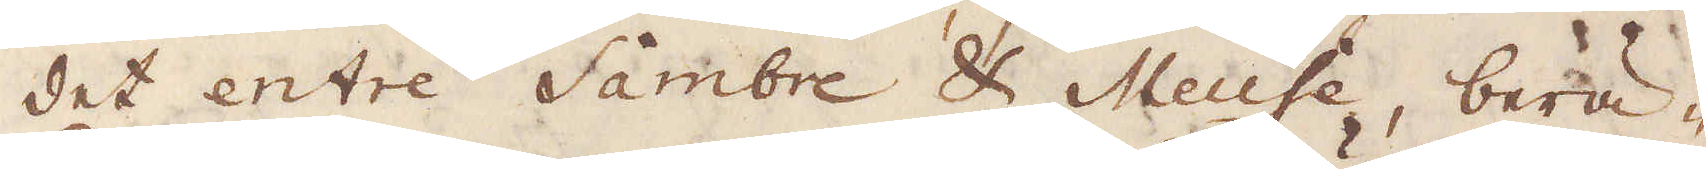det entre Sambre & Meuse, berä-
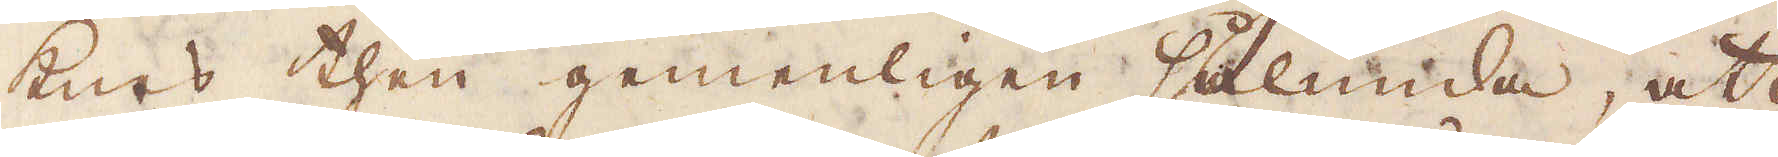knes then gemenligen sålunda, att
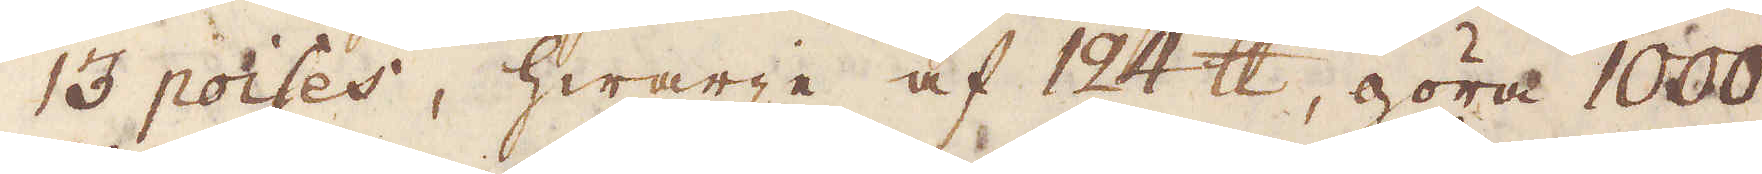13 poises, hwarje af 124 skålpund, göra 1000
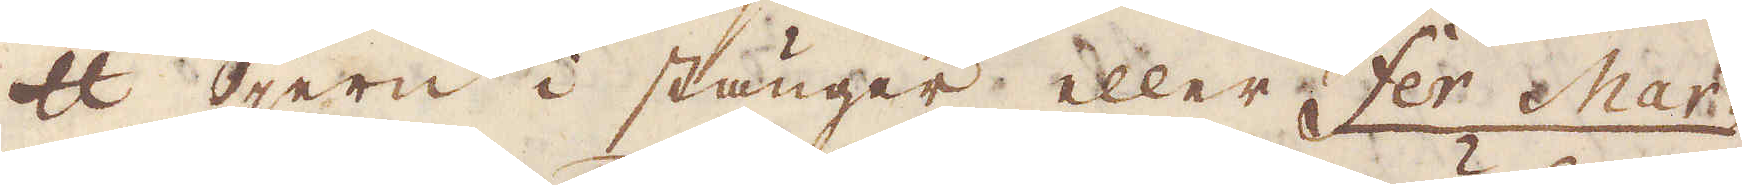skålpund jern i stänger eller Fer Mar-
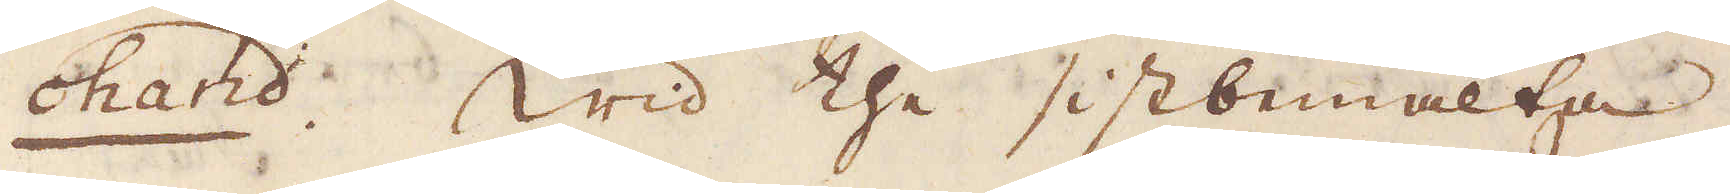chand. Wid the sistbemälta
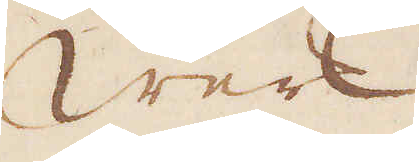Werk
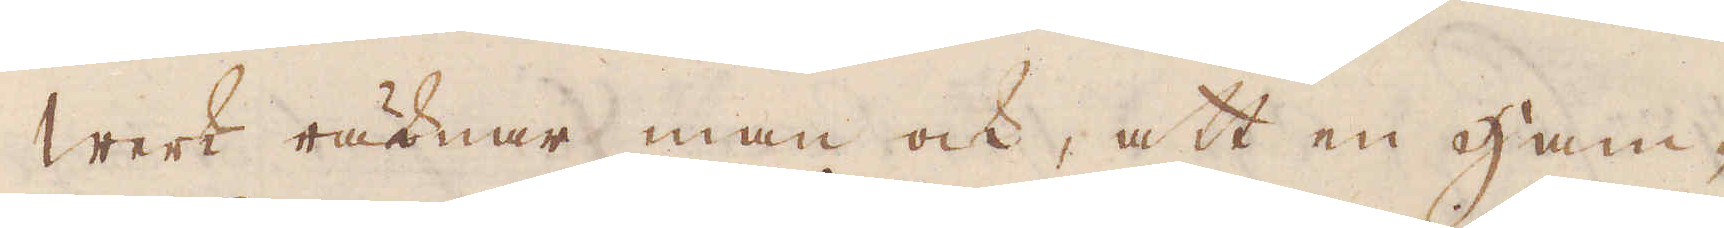Werk räknar man ock, att en Ham-
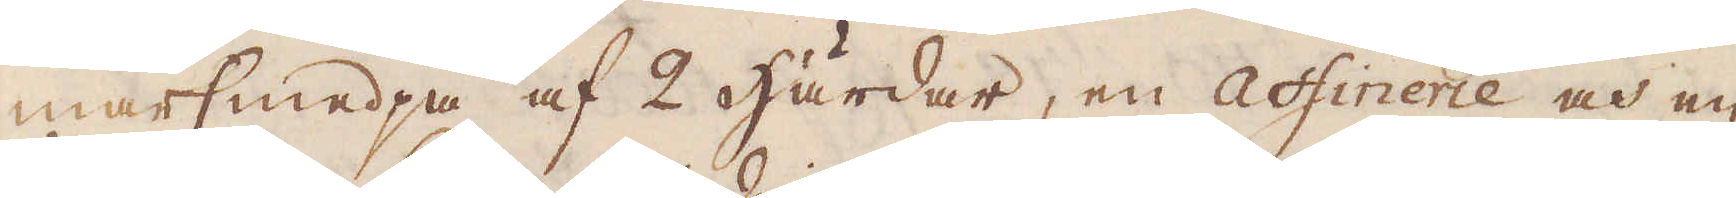marsmedja af 2 Härdar, en Affinerie och en
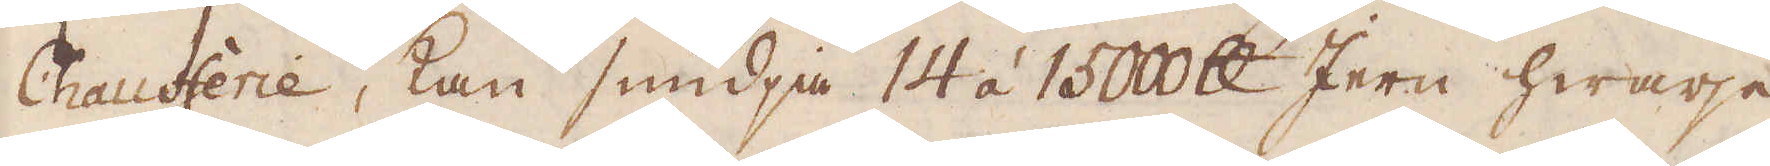Chaufferie, kan smidja 14 á 15000 skålpund Jern hwarje
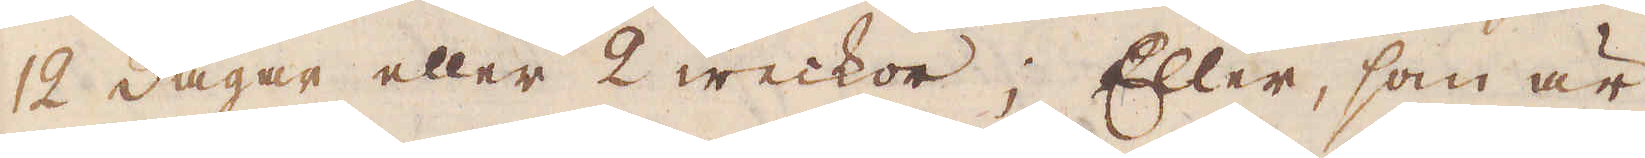12 dagar eller 2 weckor; Eller, som är
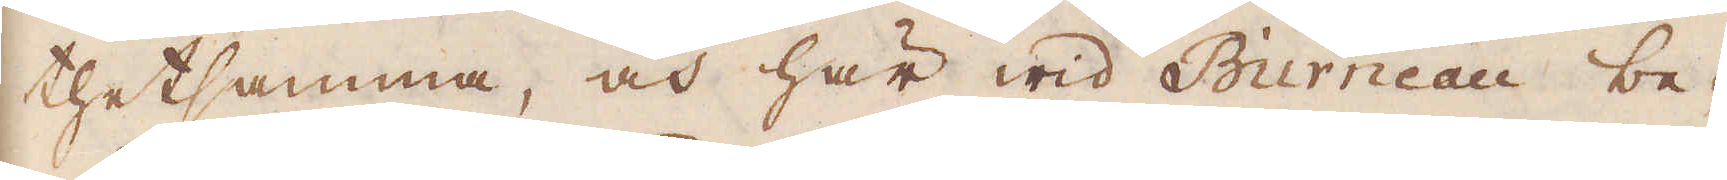thetsamma, och här wid Burneau be-
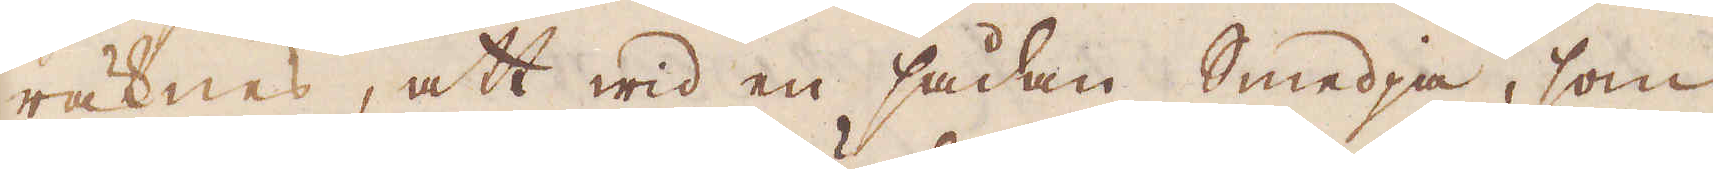räknes, att wid en sådan Smedja, som
